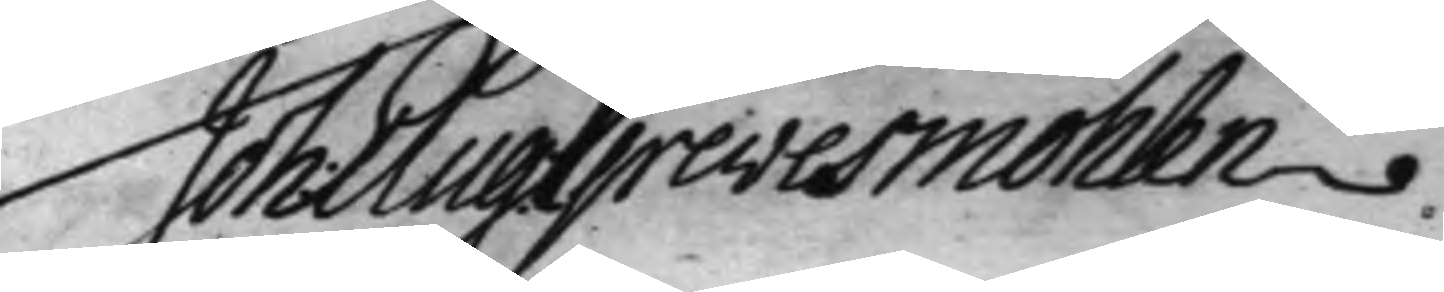Joh: Aug: Grevesmöhlen.
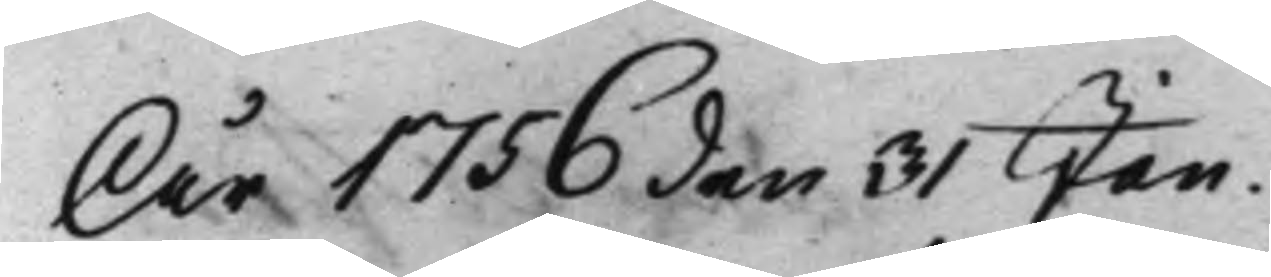År 1756 den 31 Jan.
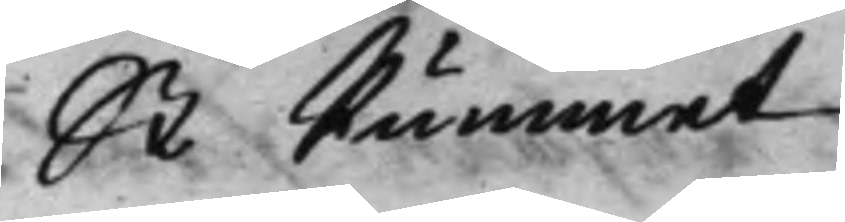St Rummet
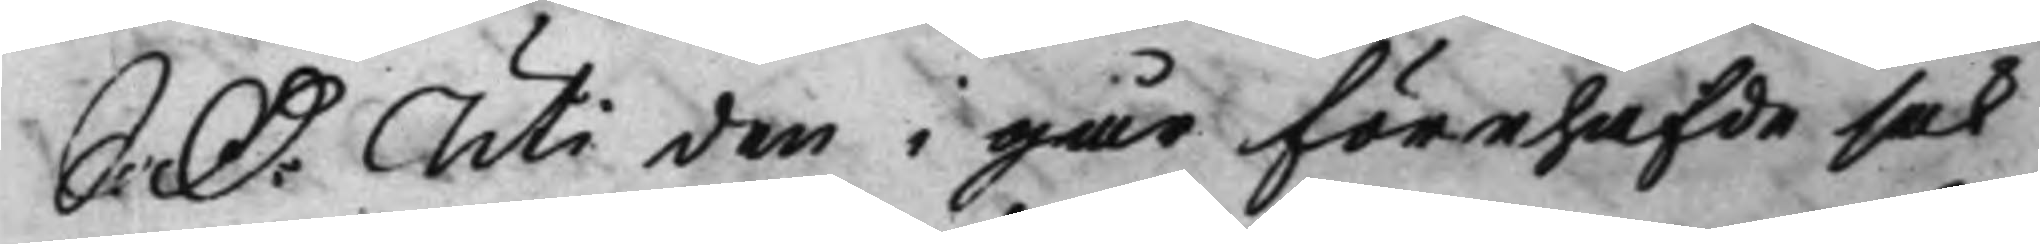S: D: Uti den i går förehafde sak
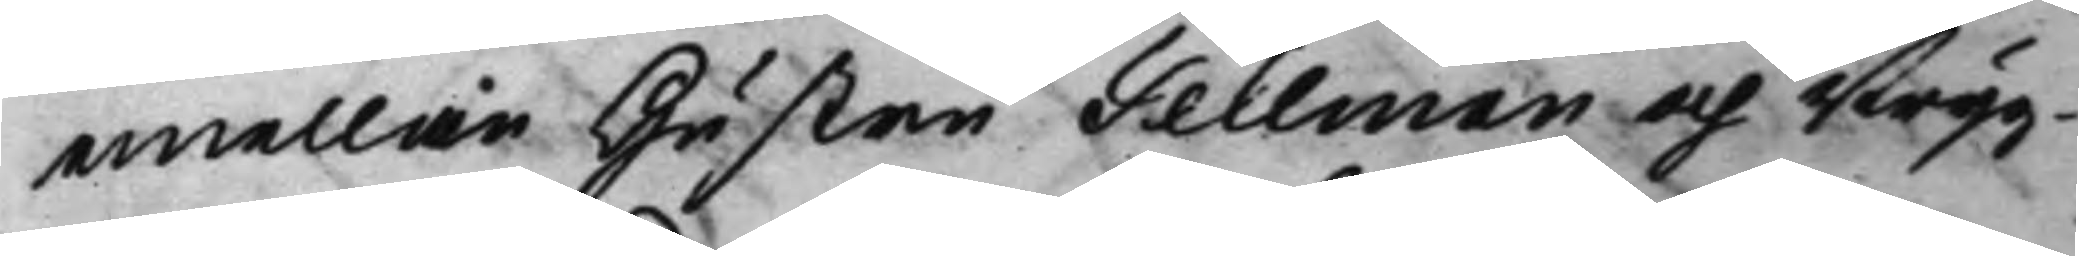emellan Hustru Tellman och Bryg-
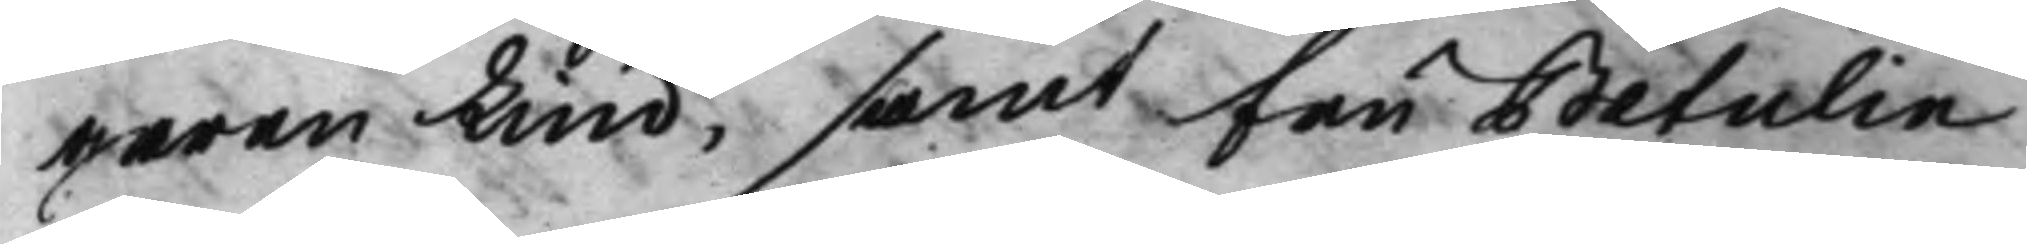garen Lind, samt fru Betulin
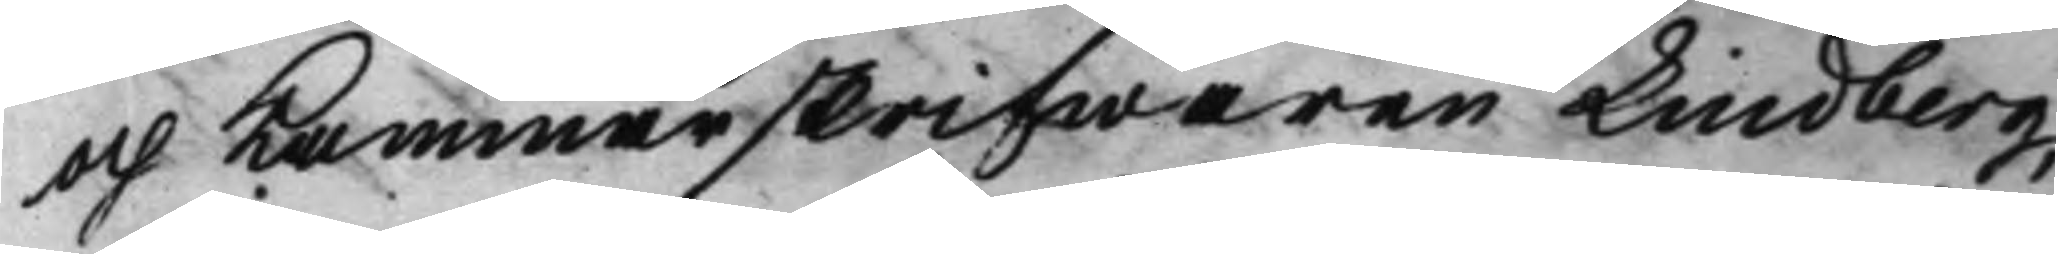och kammarskrifwaren Lindberg,
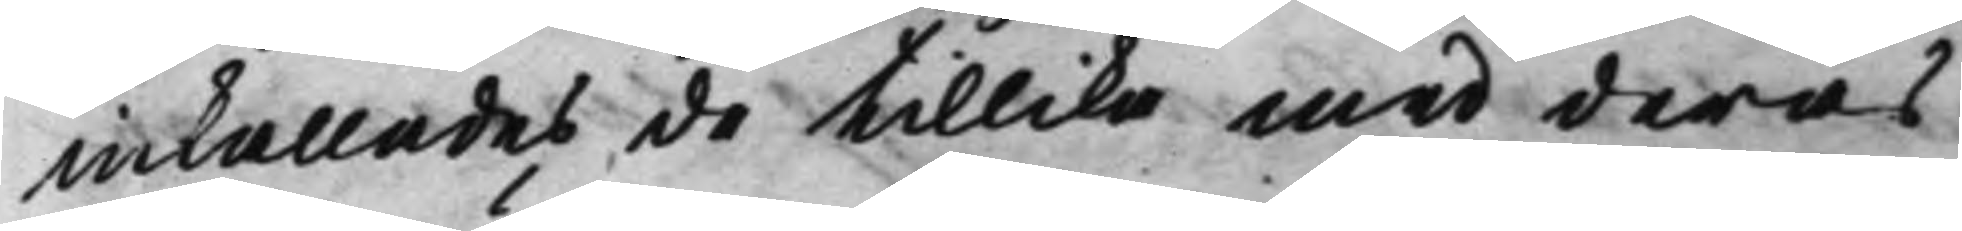inkallades de tillika med deras
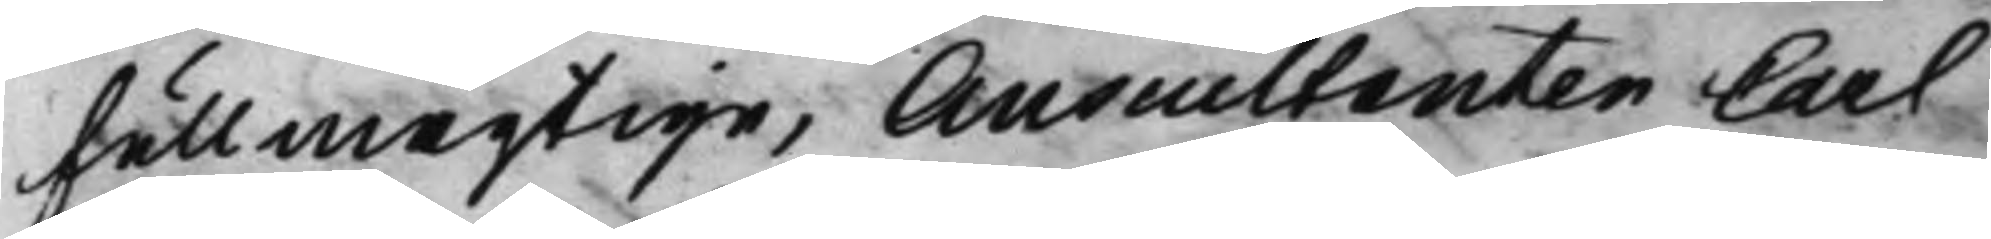fullmägtige, Auscultanten Carl
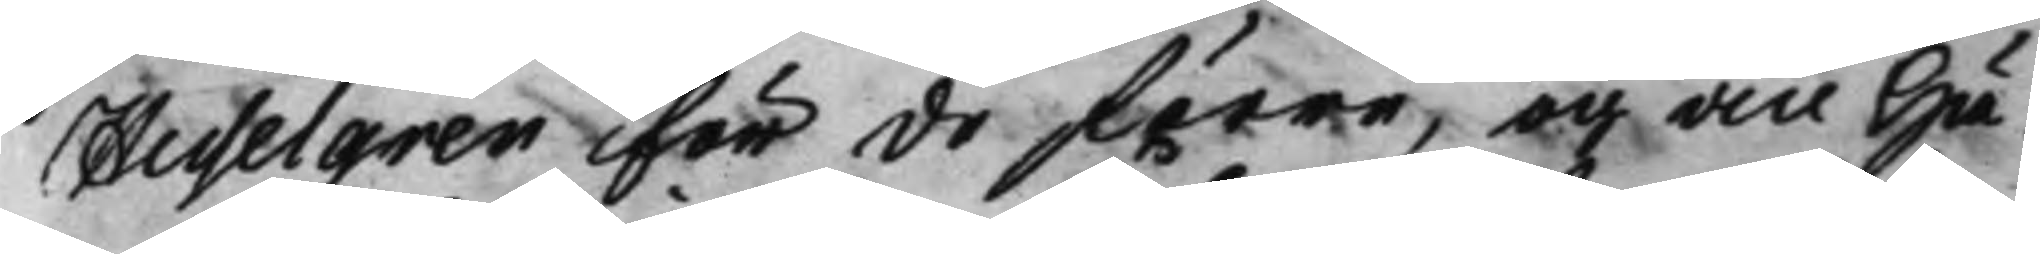Hesselgren för de förre, och vice Hä¬
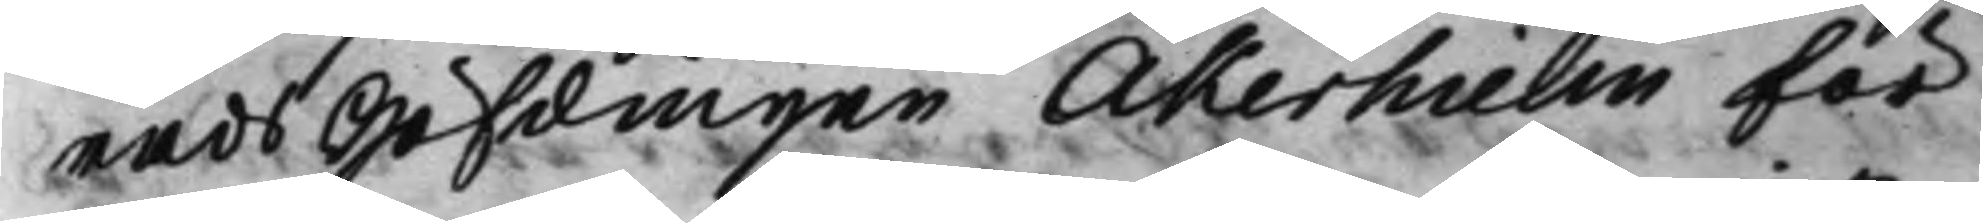radsHöfdingen Åkerhielm för
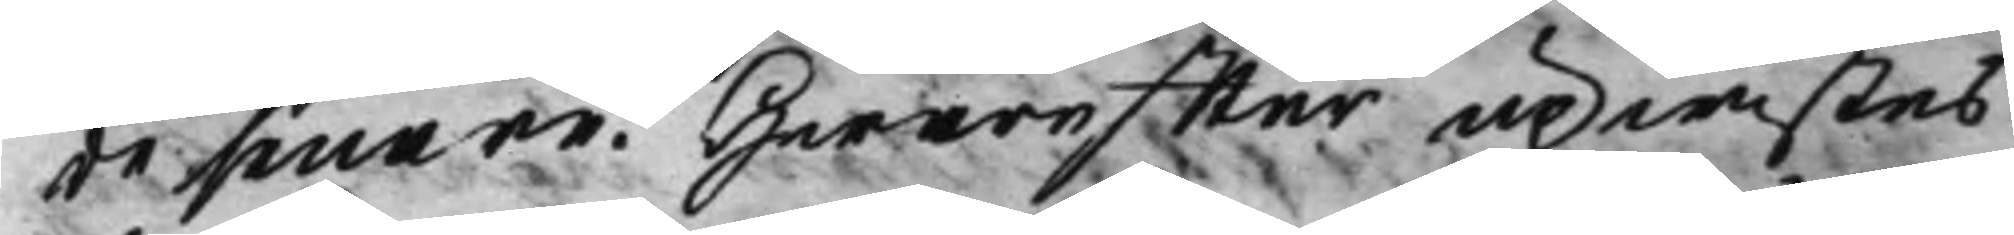de senare. Hwareffter upwistes
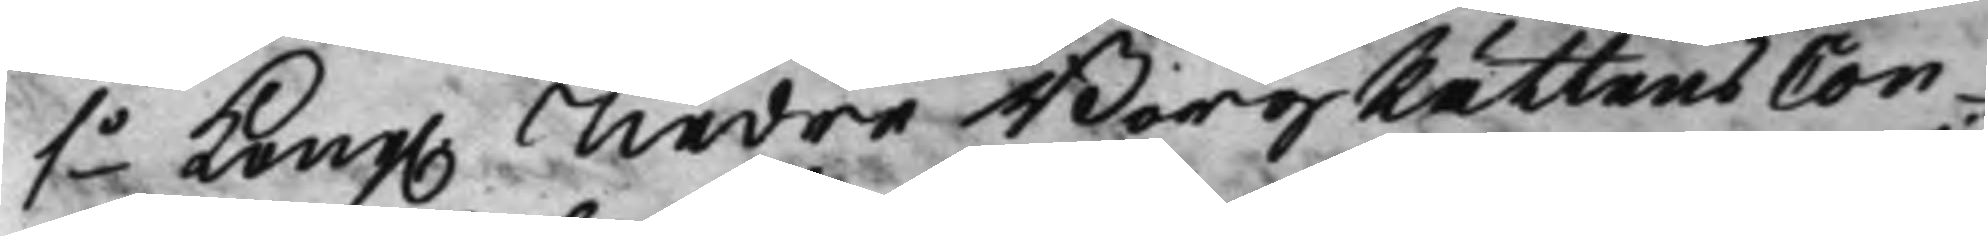1o Kong. Nedre BorgRättens Con¬
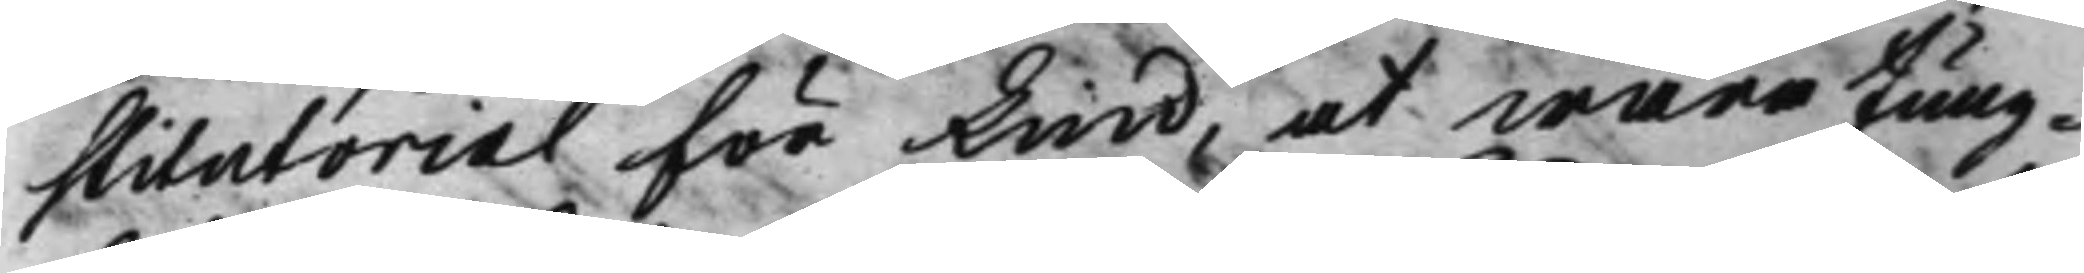stitutorial för Lind, at wara Jung¬
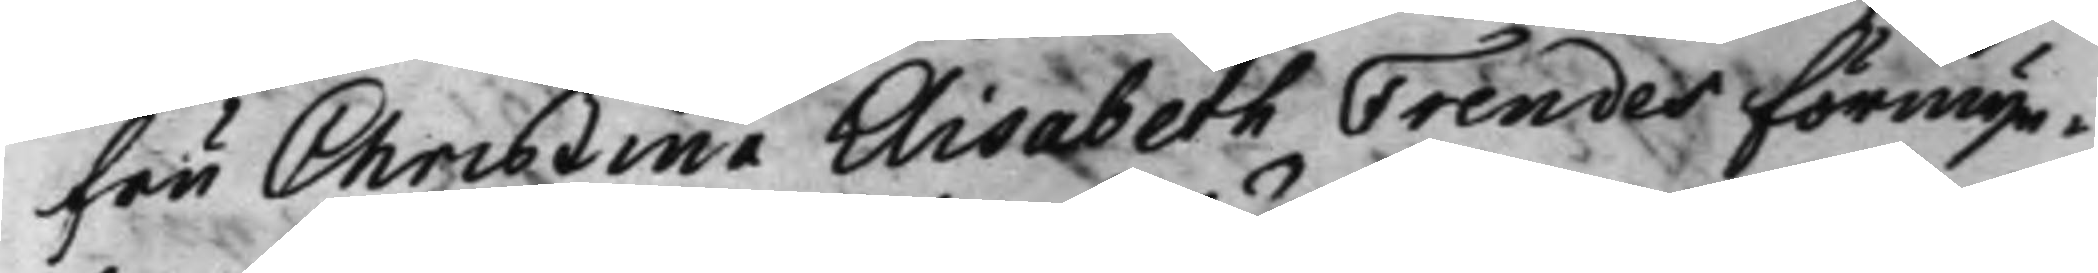fru Christina Elisabeth Frendes förmyn¬
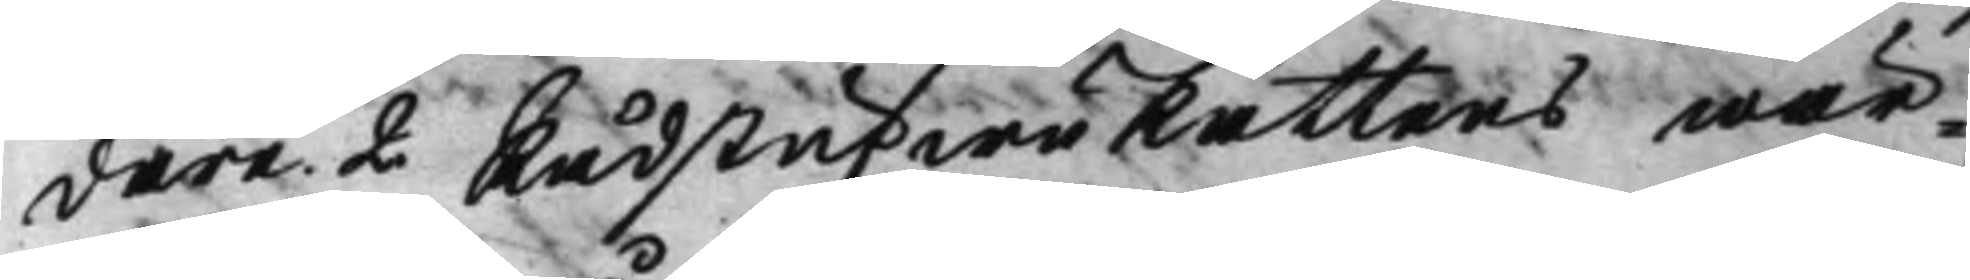dare 2 RådstufwuRättens wär¬
